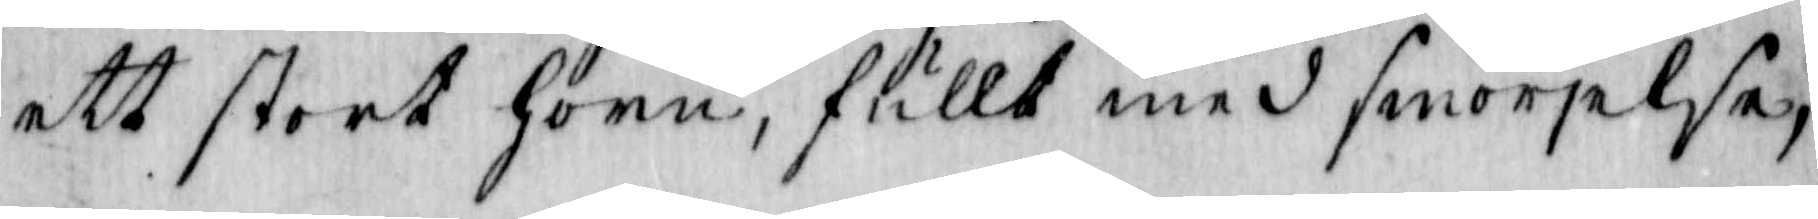ett stort Horn, fullt med smörelse,
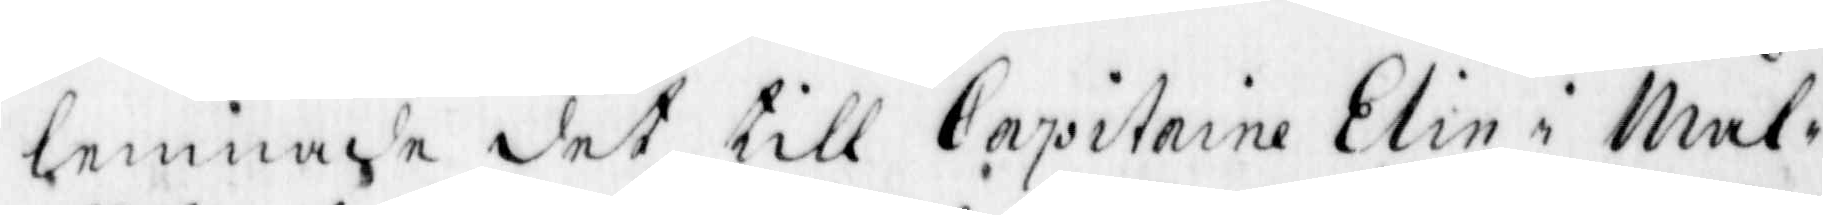lemnade det till Capitaine Elin i Mål¬
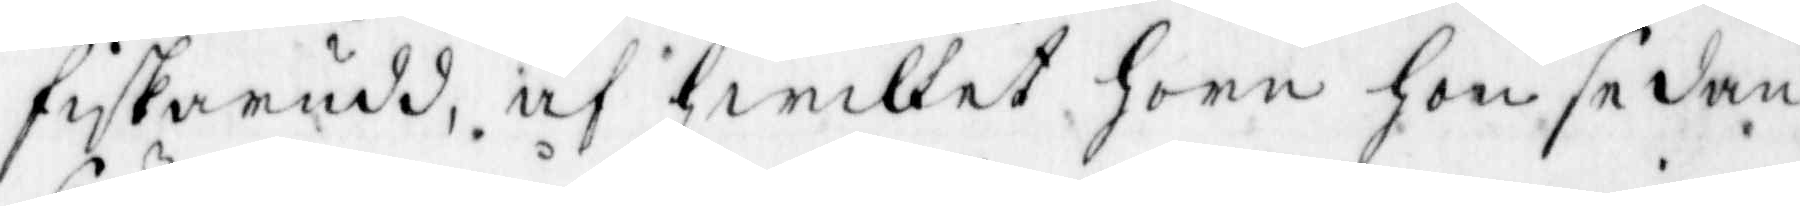fiskarudd, af hwilket hirn hon sedan
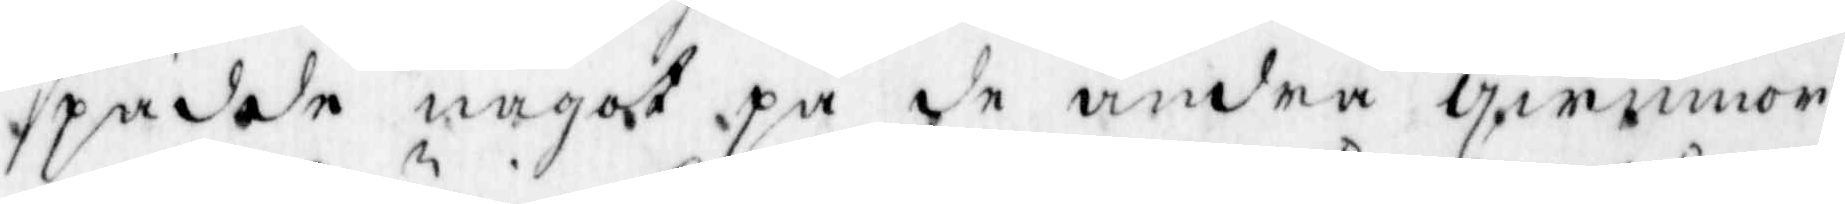spädde något på de andra qwinnor¬
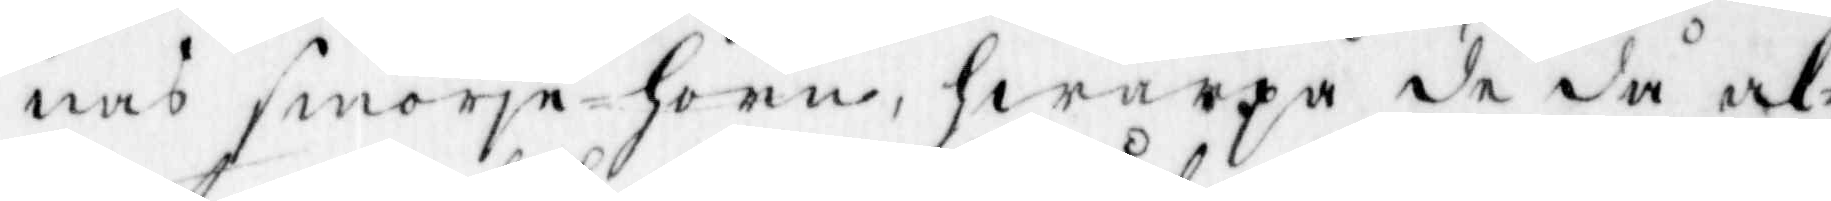nas smörje-horn, hwarpå de då al¬
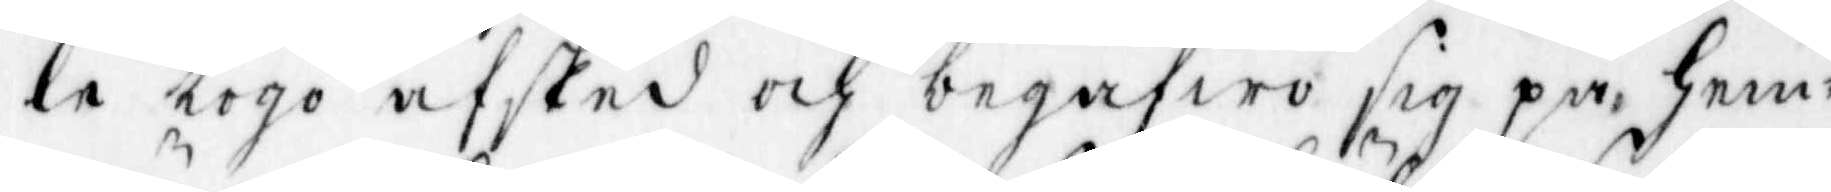le togo afsked och begåfwo sig på hem¬
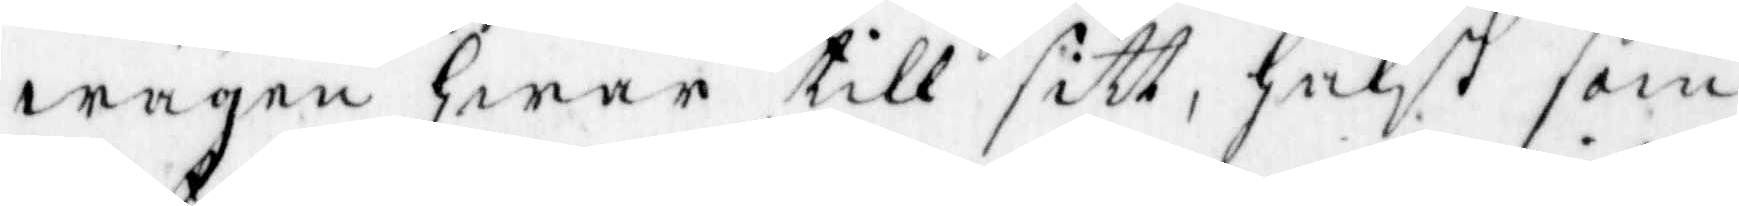wägen hwar till sitt, hälst som
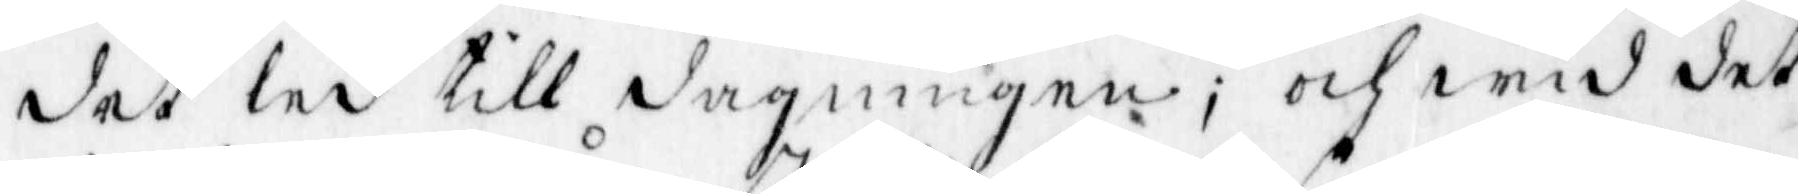det led till dagningen och wid det
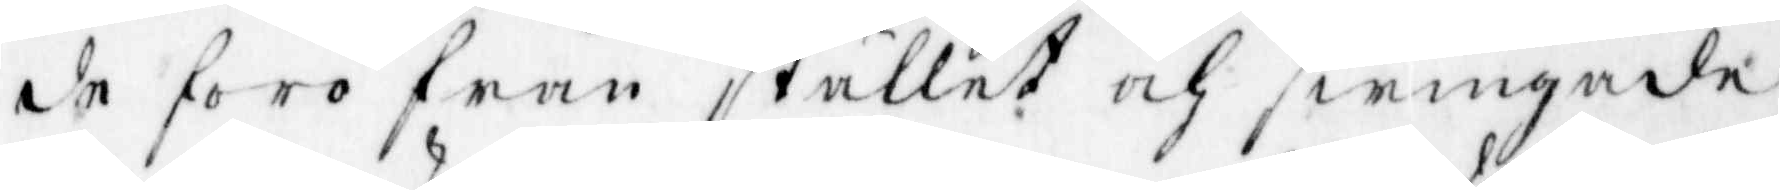de foro från stället och swingade
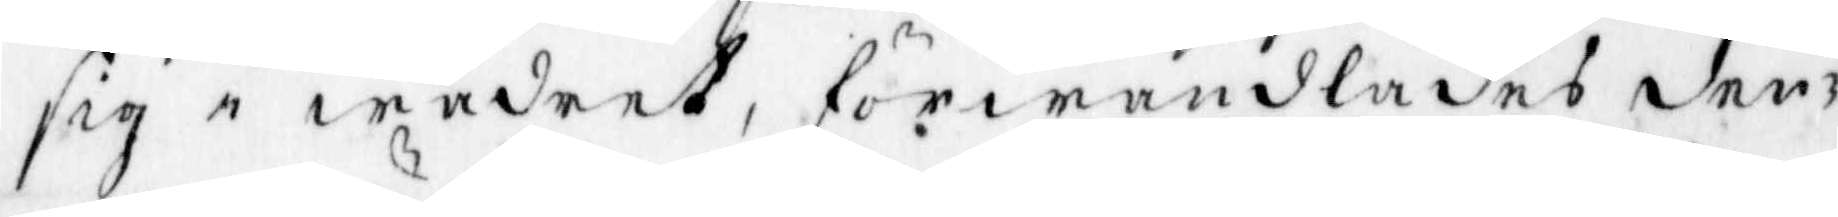sig i wädret, förwandlades den¬
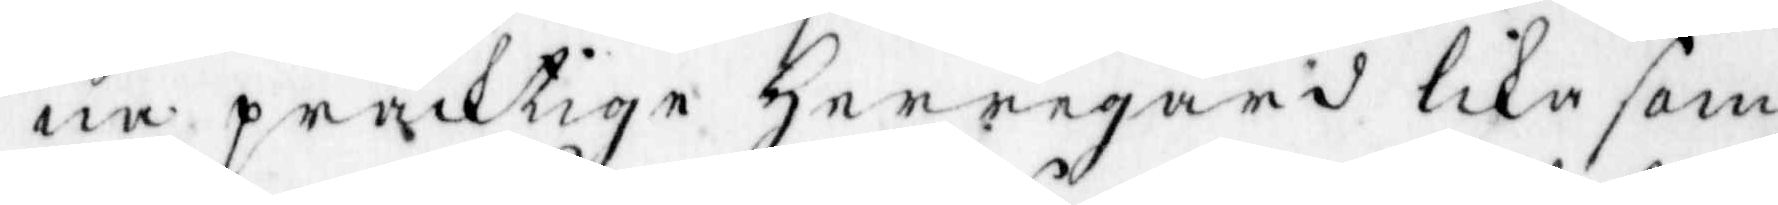na präcktige herregård lika som
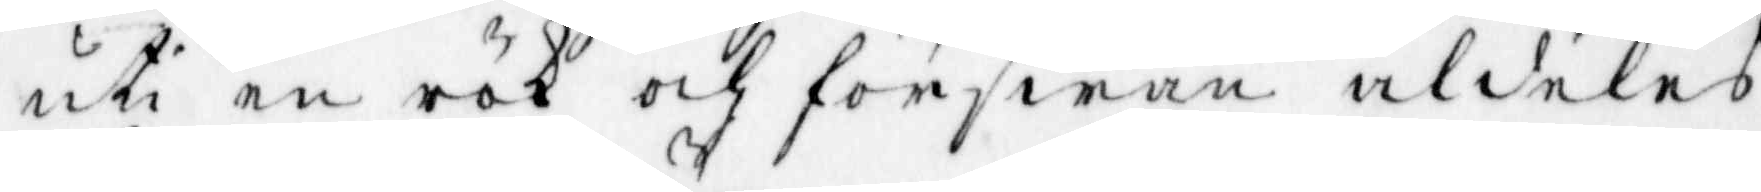uti en rök och förswann aldeles
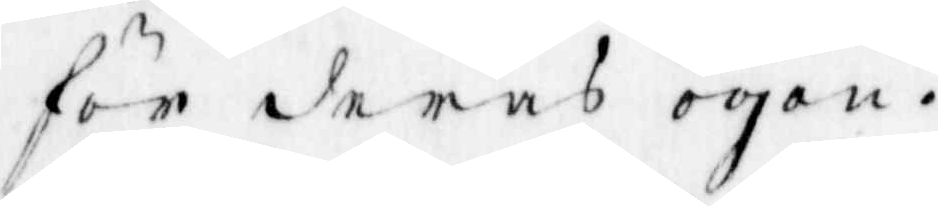för deras ögon.
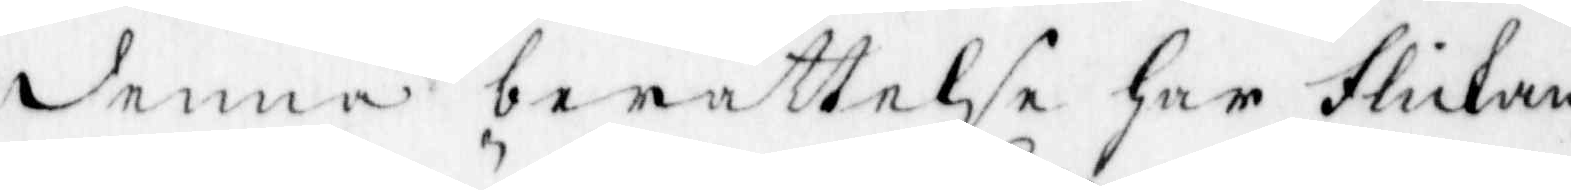denna berättelse har flickan,
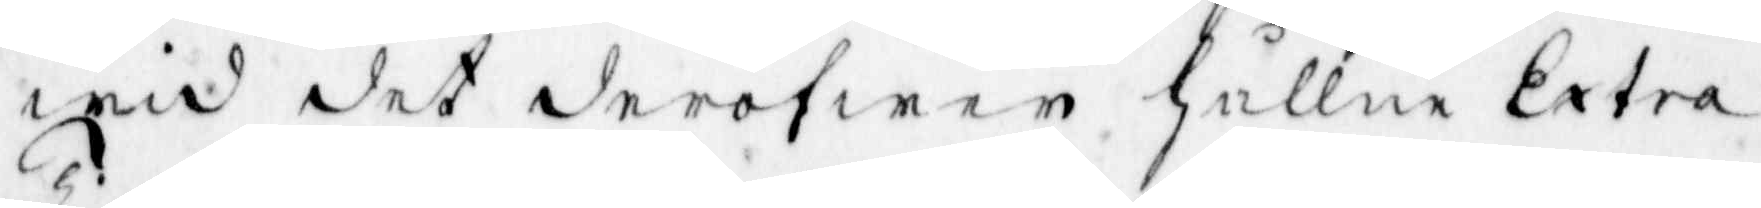wid det deröfwer hållne Extra
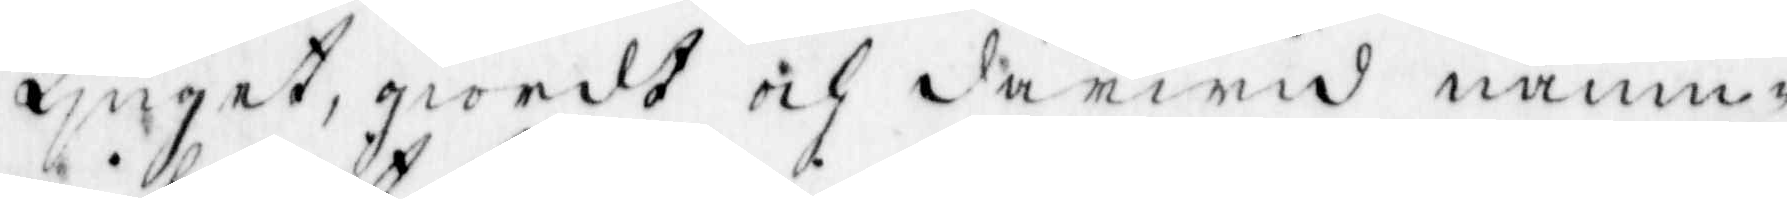Tinget, giordt och därwid namn¬
